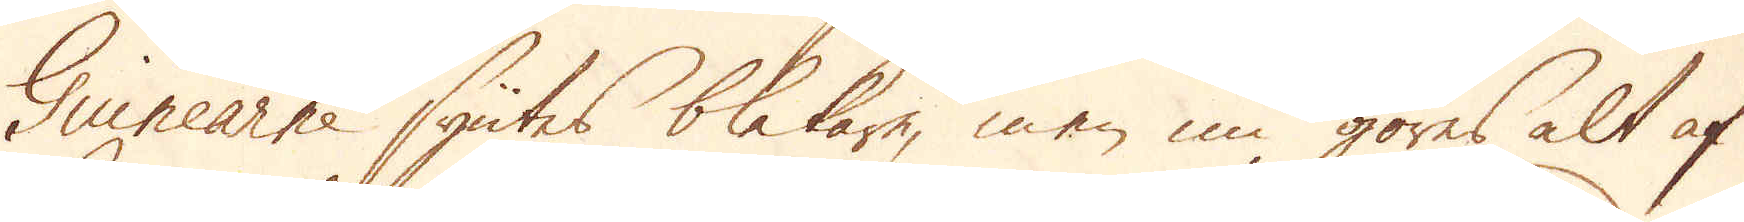Guinearne syntes blekare, men nu göres alt af
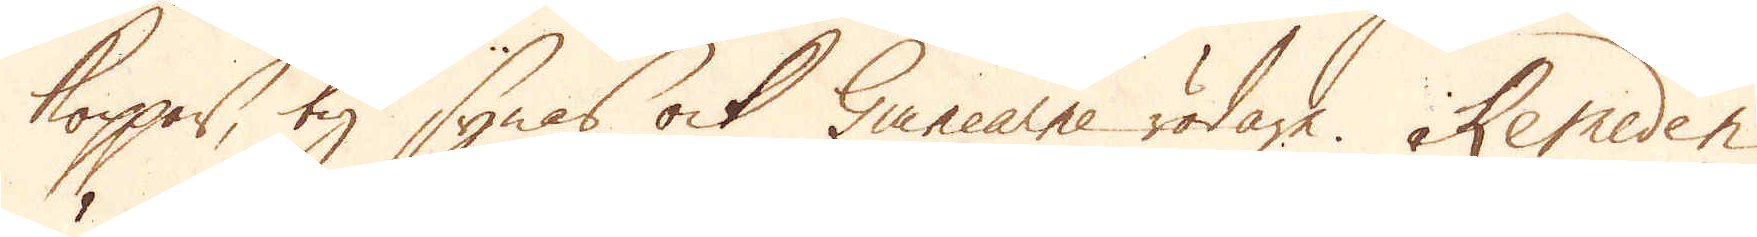koppar, ty synas ock Guinearne rödare. Remeden
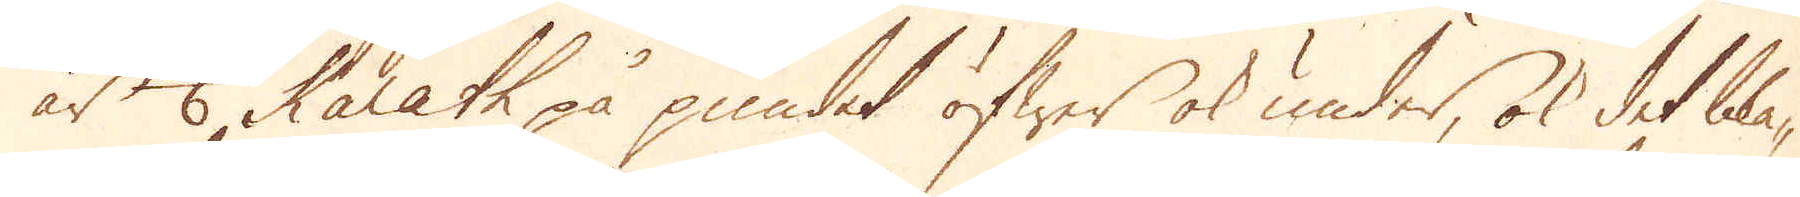är 1/6 Karath på pundet öfwer ok under, ok det blå-
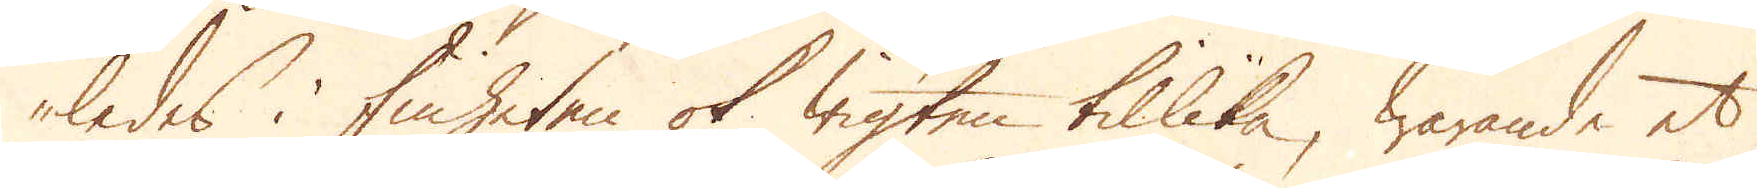ledes i finheten ok wigten tillika, warande et
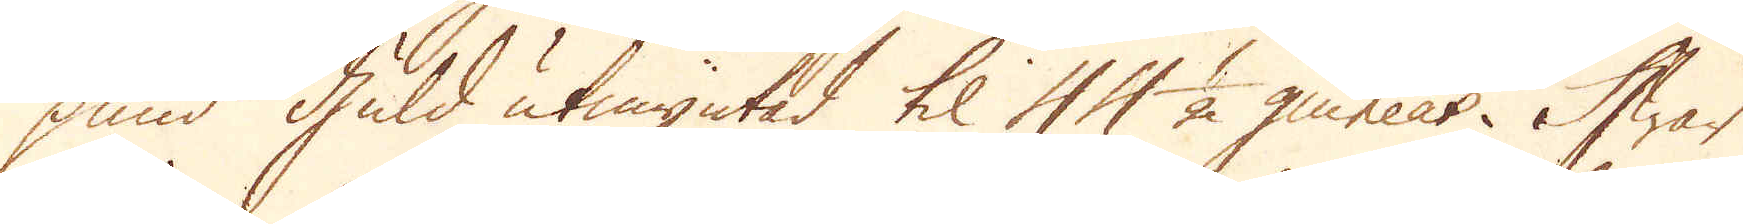pund Guld utmyntad til 44 1/2 guineas. Hwar
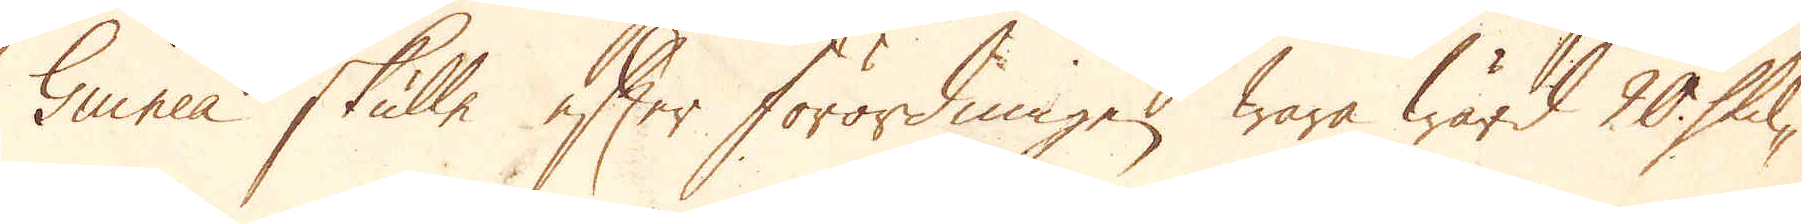Guinea skulle efter förordningen wara wärd 20 Skil-
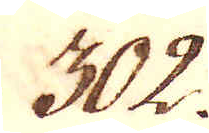302.
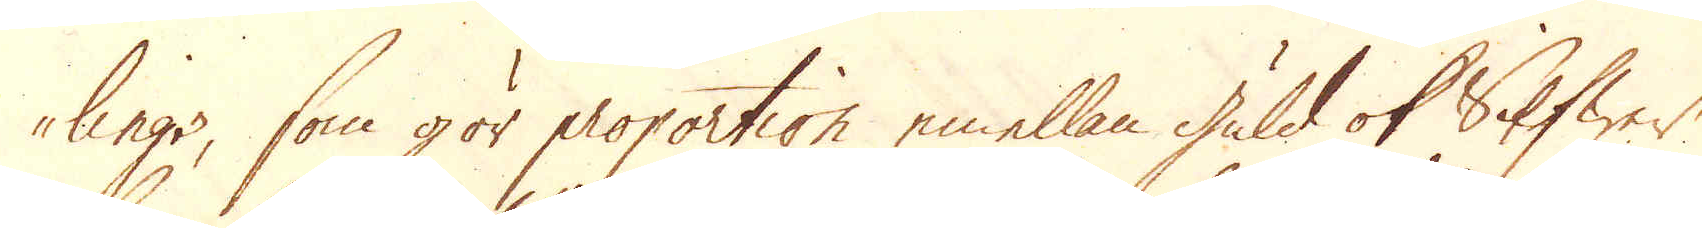lings, som gör proportion emellan guld ok Silfwer
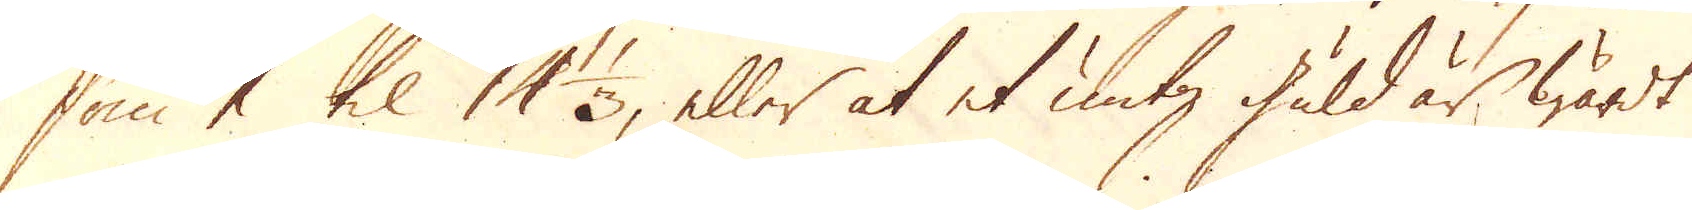som 1 til 14 1/3, eller at et untz guld är wärdt
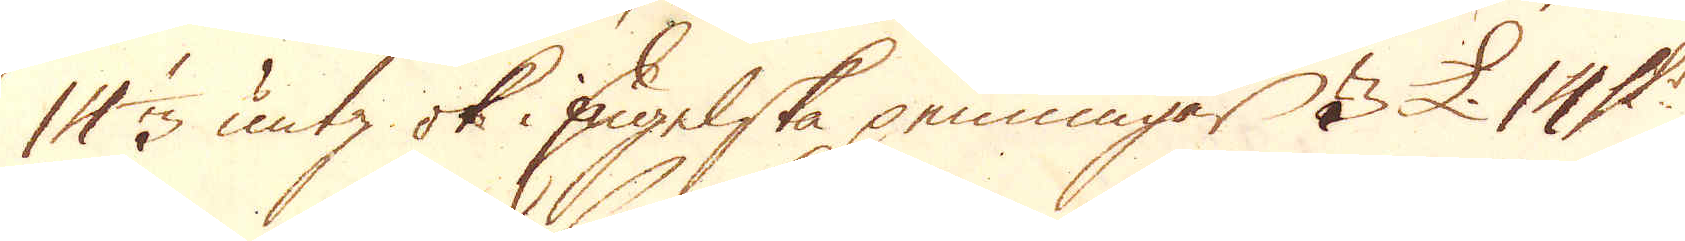14 1/3 untz ok i Engelska penningar 3 £. 14 Sk:r
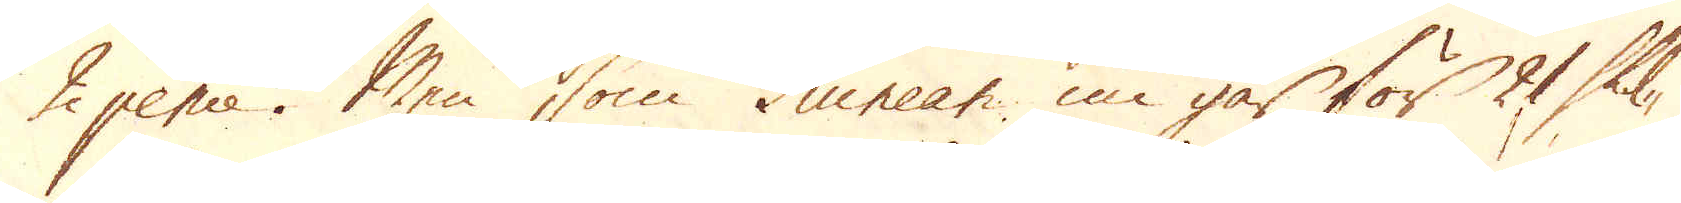2 pence. Men som Guinean nu går för 21 skil-
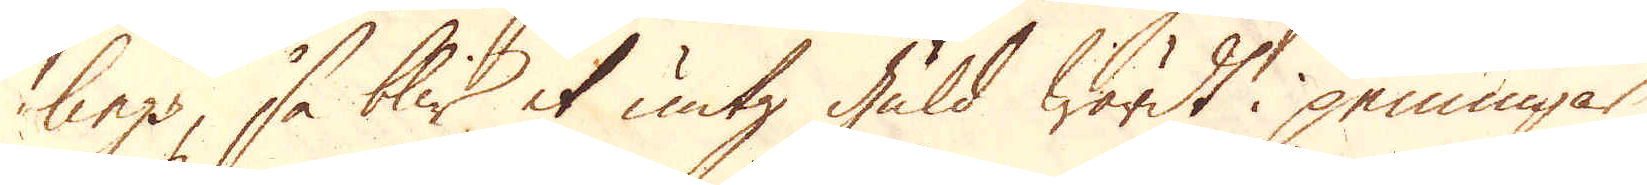lings, så blir et untz guld wärdt i penningar
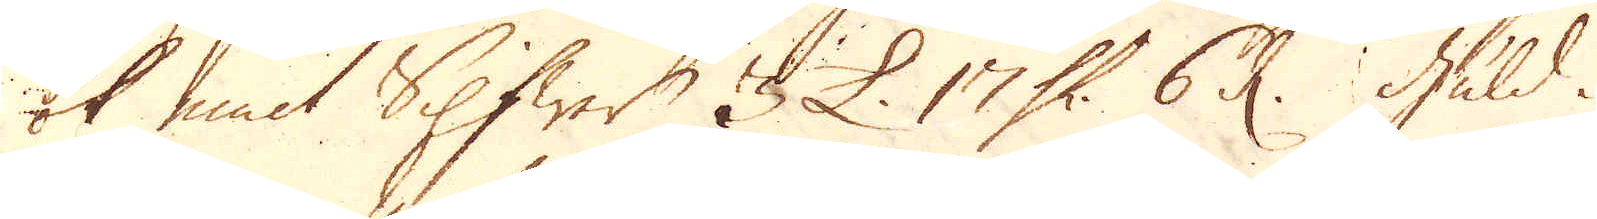ok emot Silfwer 3 £. 17 Sk:r 6 d. Guld i
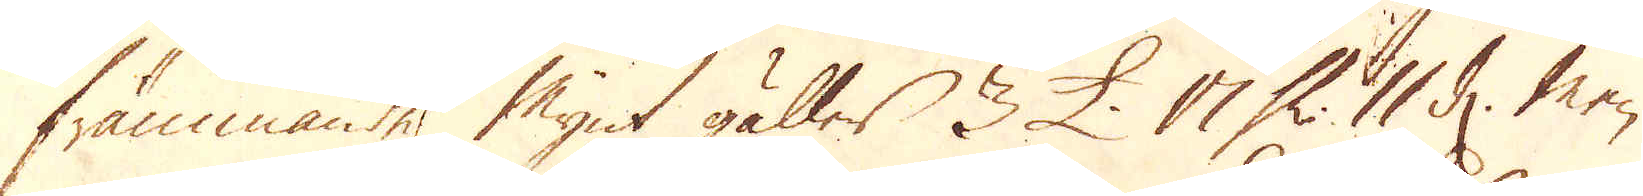främmande Mynt gäller 3 £. 17 Sk: 11 d. Men
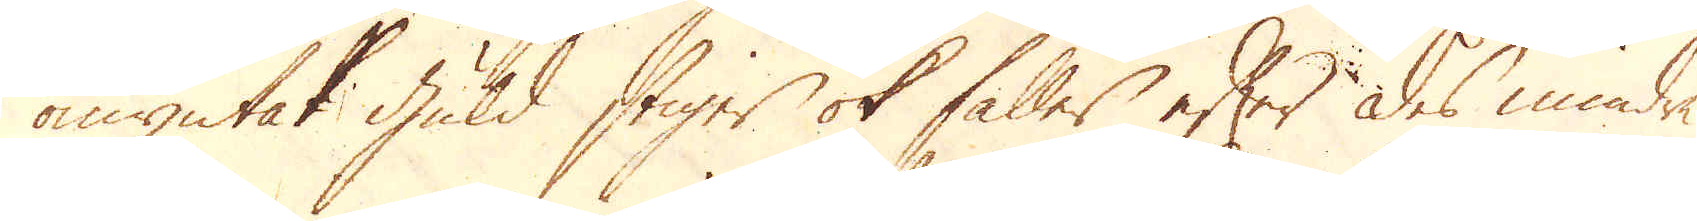omyntat guld stiger ok faller efter des mindre
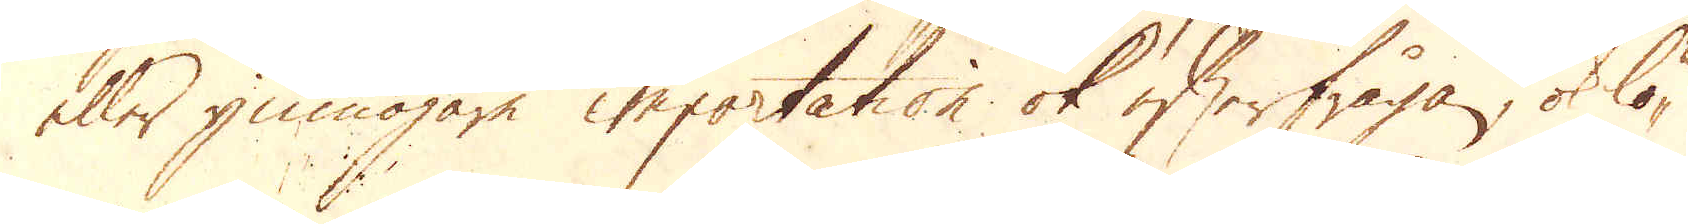eller ymnogare importation ok efterfrågen, ok lö-
